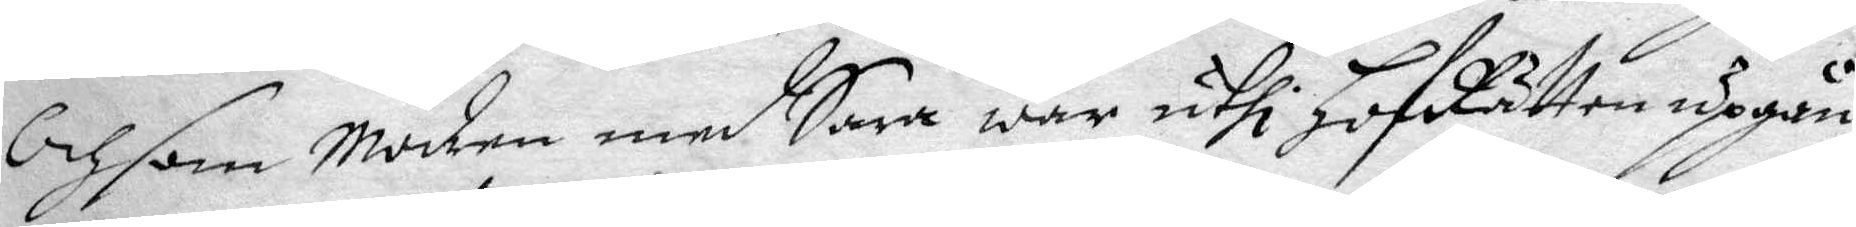Och som Modrem med Sara war uthi hofRätten uppgån¬
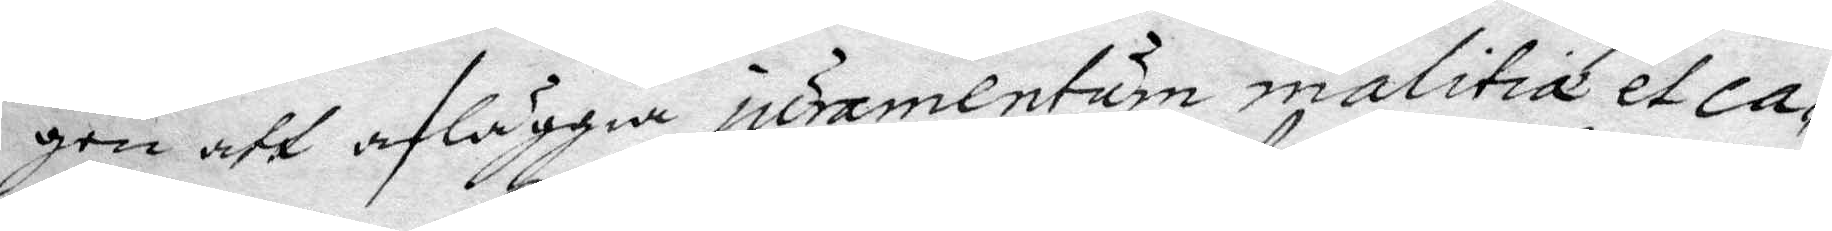gen att afläggia juramentum malitia et ca¬
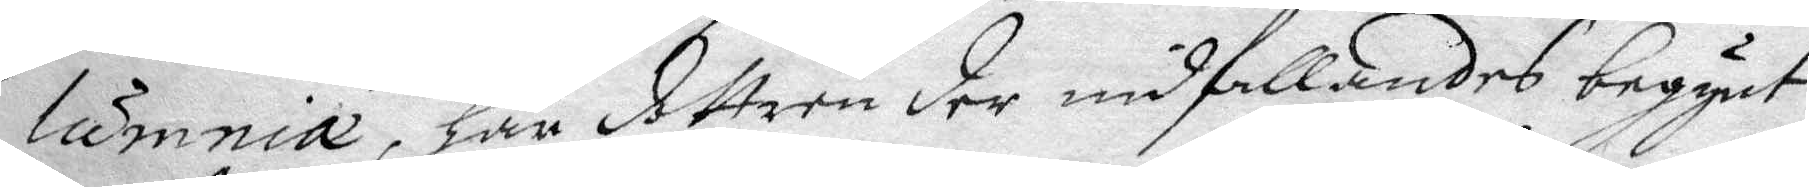lumnia, har dottren der undfallandes begynt
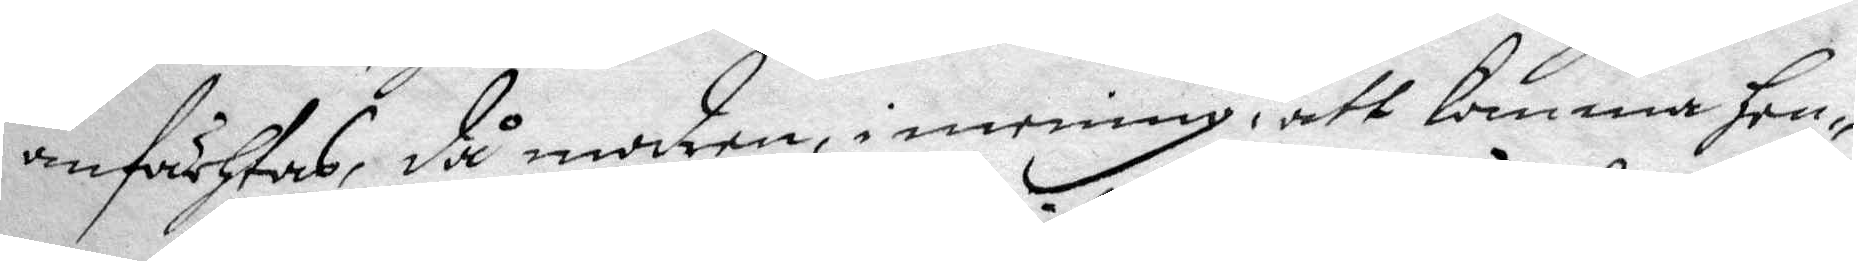anfächtas, då modren, i mening, att komma hen¬
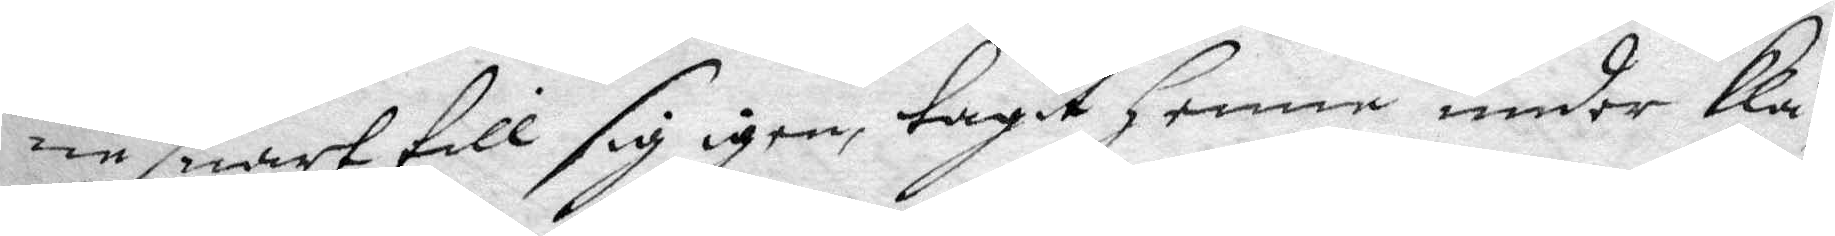ne snart till sig igen, tagit henne under klä¬
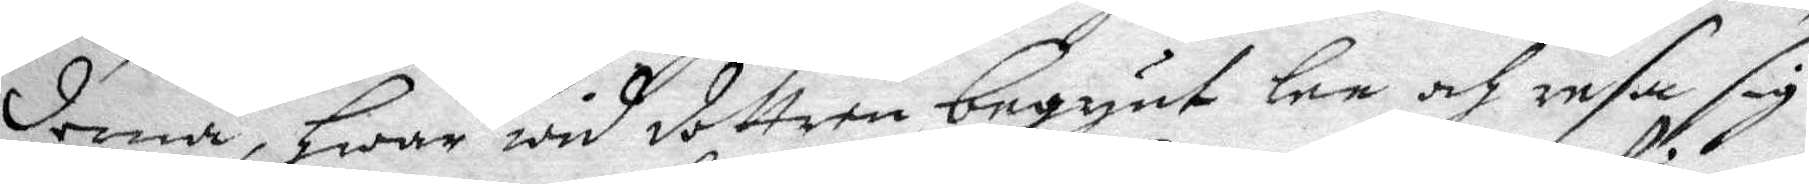derna, hwar wid dottren begynt lee och resa sig
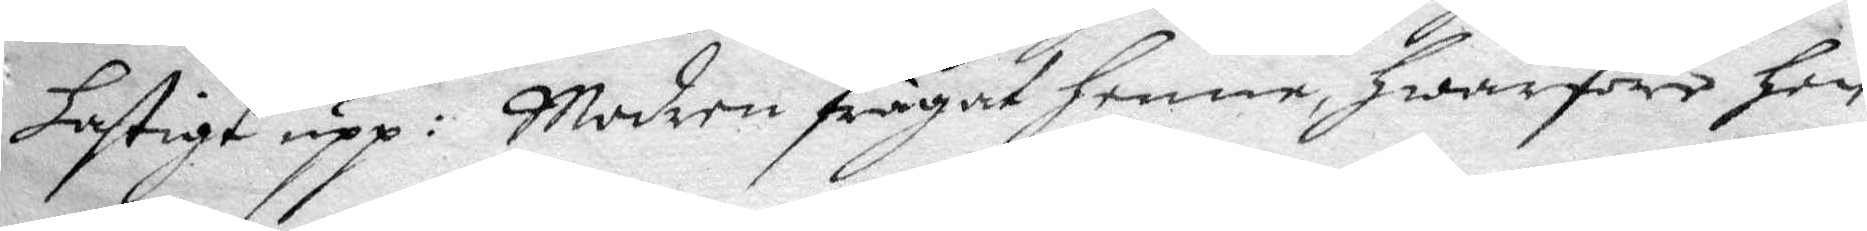hastigt upp: Modren frågat henne hwarföre hon 
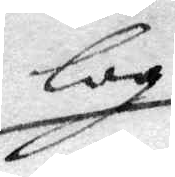log
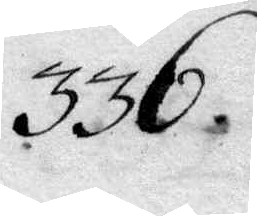336.
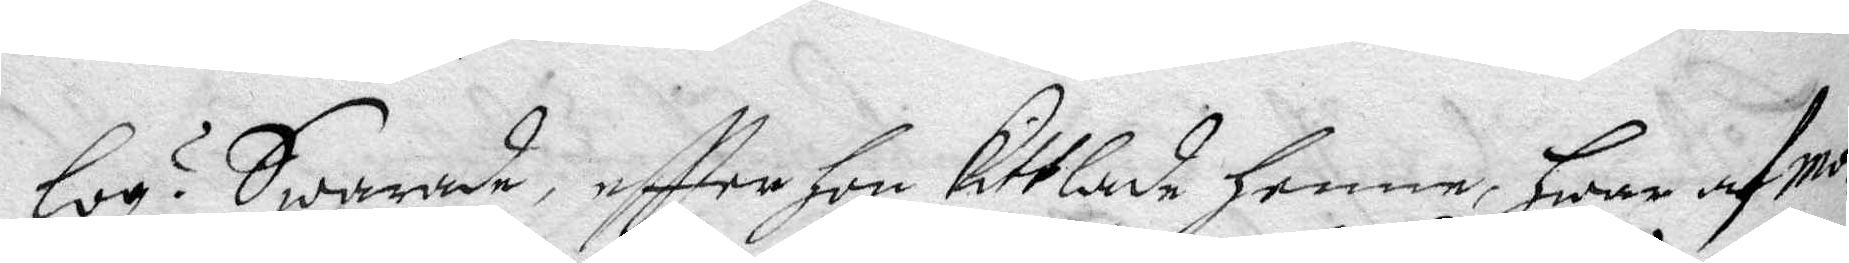log? Swarade, eftter hon Kittlade henne, hwar af mo¬
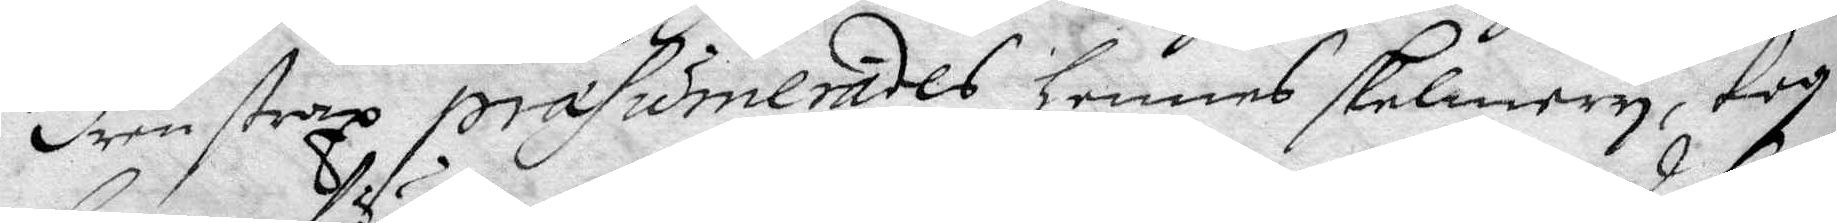dren strax præsumerades hennes skelmery, tog
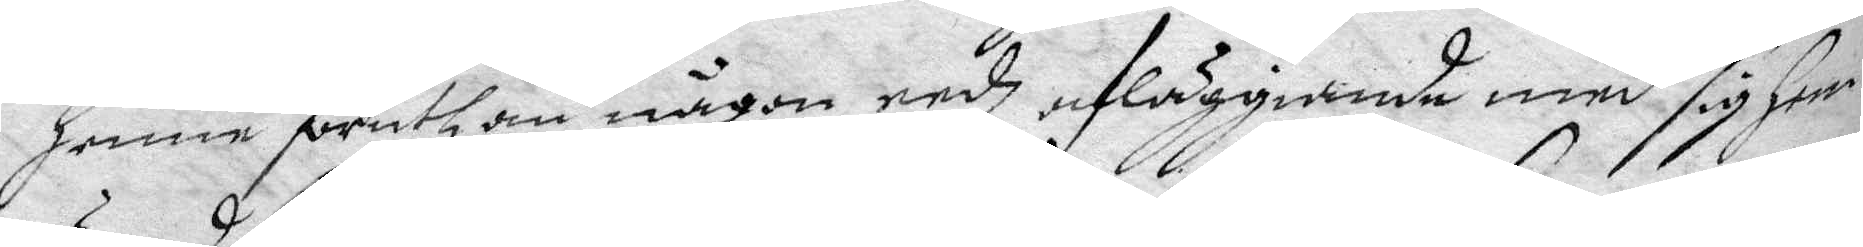henne föruthan någon eedz afläggiande med sig hem
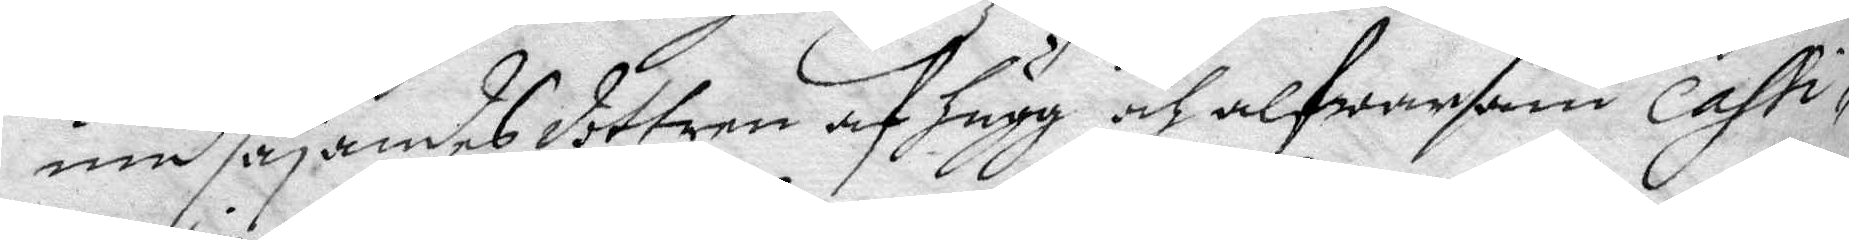und säyandes dottren af hugg och alfwarsam casti¬
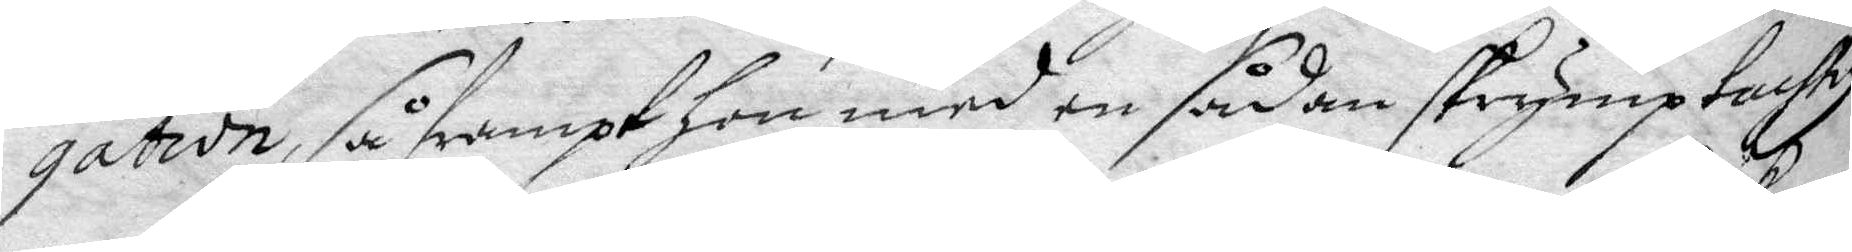gation, så frampt hon med en sådan skrymptachtig
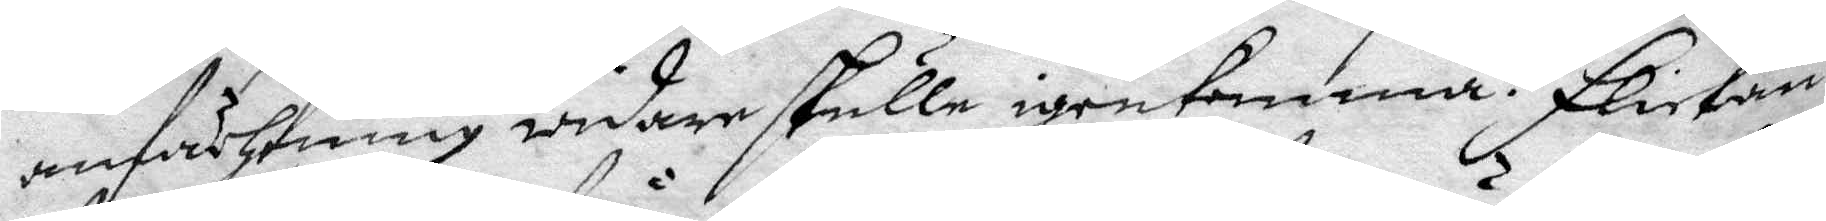anfächtning widare skulle igenkomma. Flickan
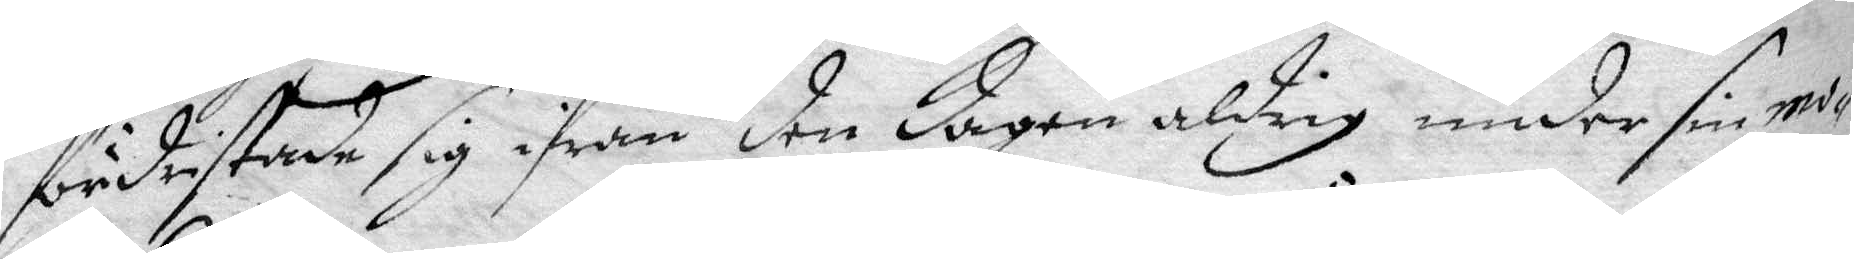fördristade sig ifrån den dagen aldrig under sin mo¬
